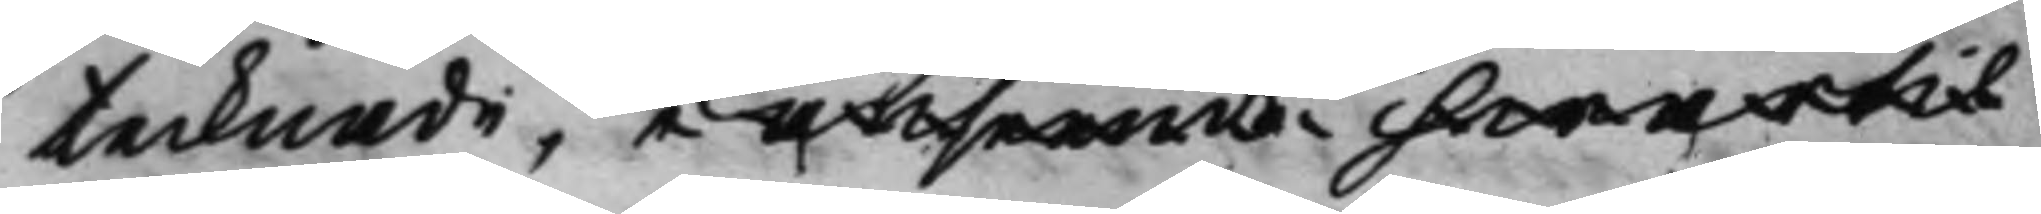tecknade, i afseende hwartil
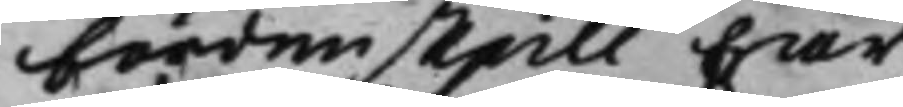fördenskull har
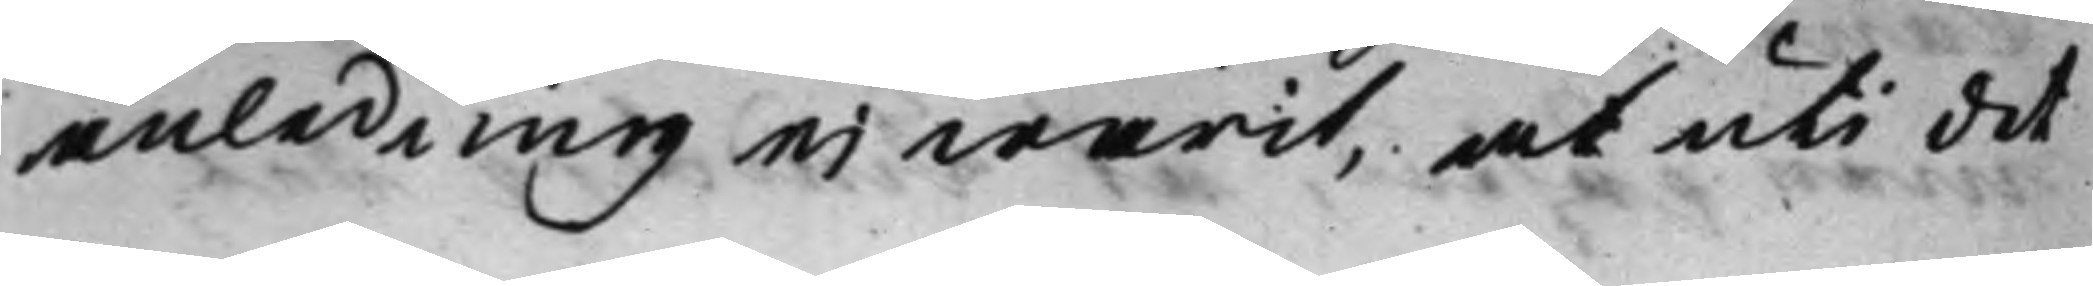anledning ei warit, at uti det
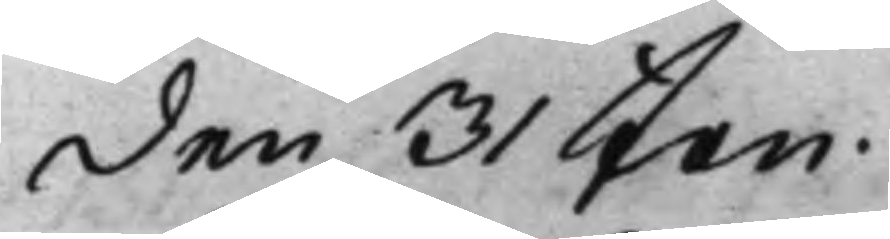den 31 Jan
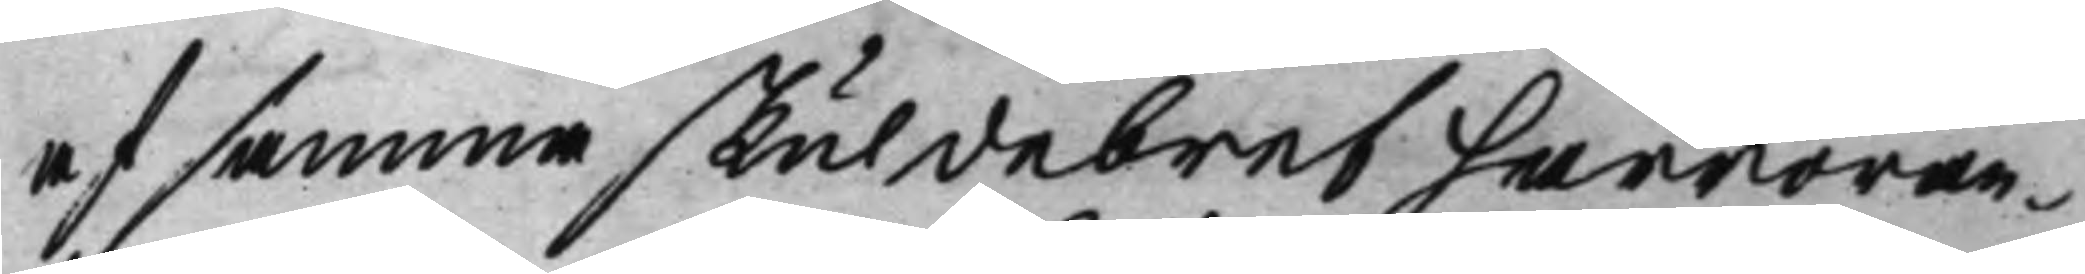af samma skuldebref härröran¬
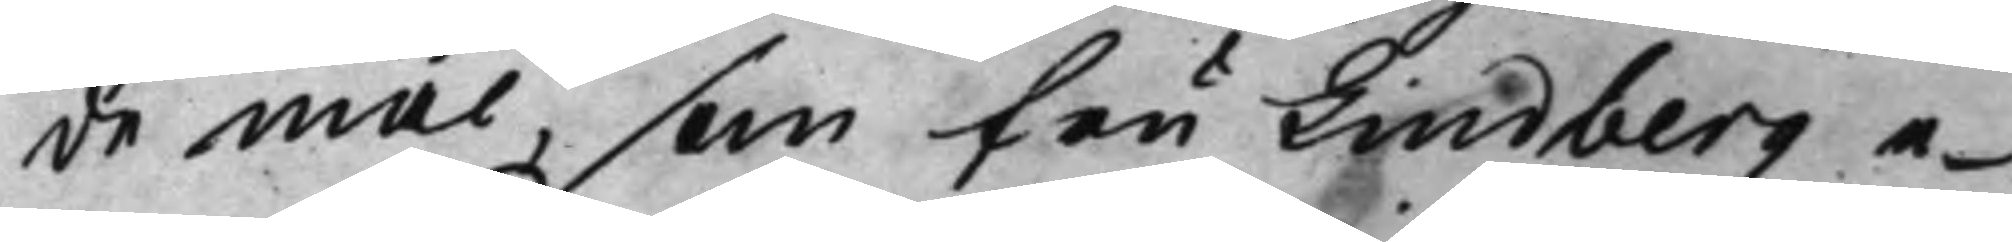de mål, som fru Lindberg e¬
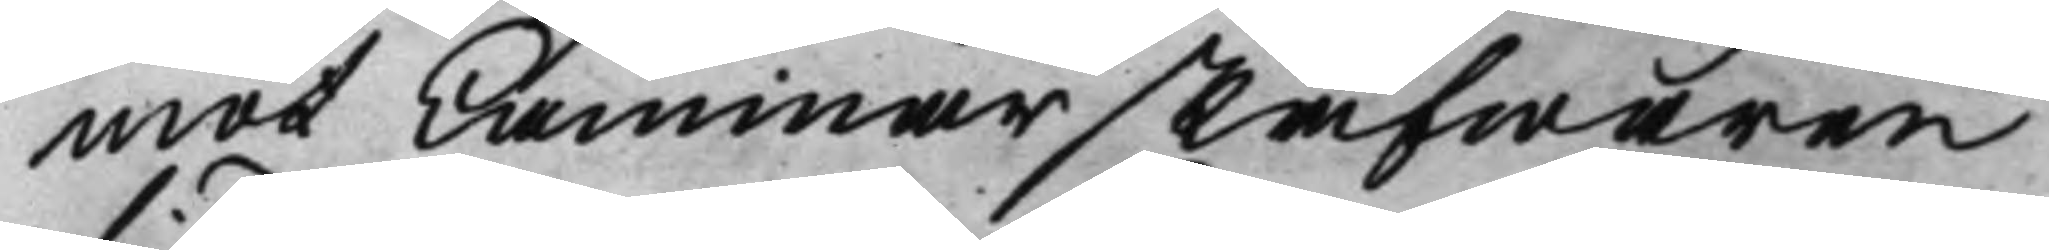mot Cammarskrifwaren
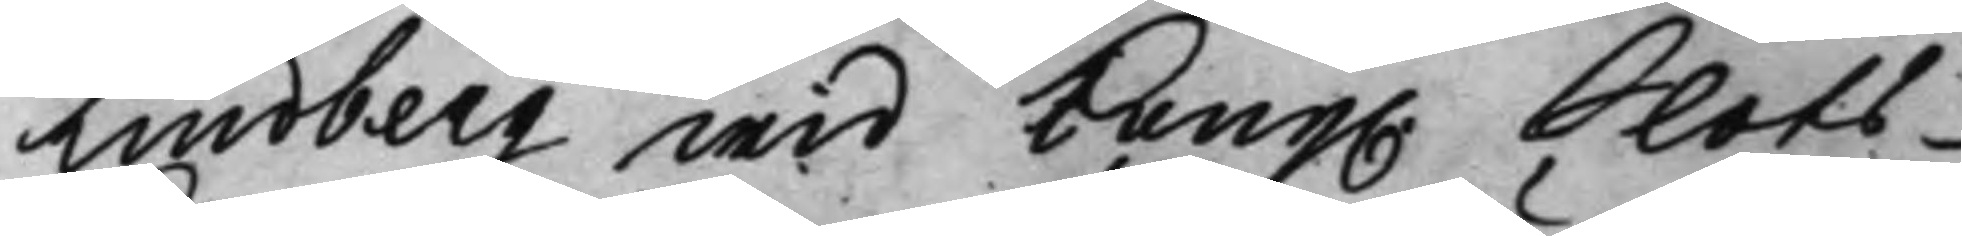Lindberg wid Kong. Slots¬
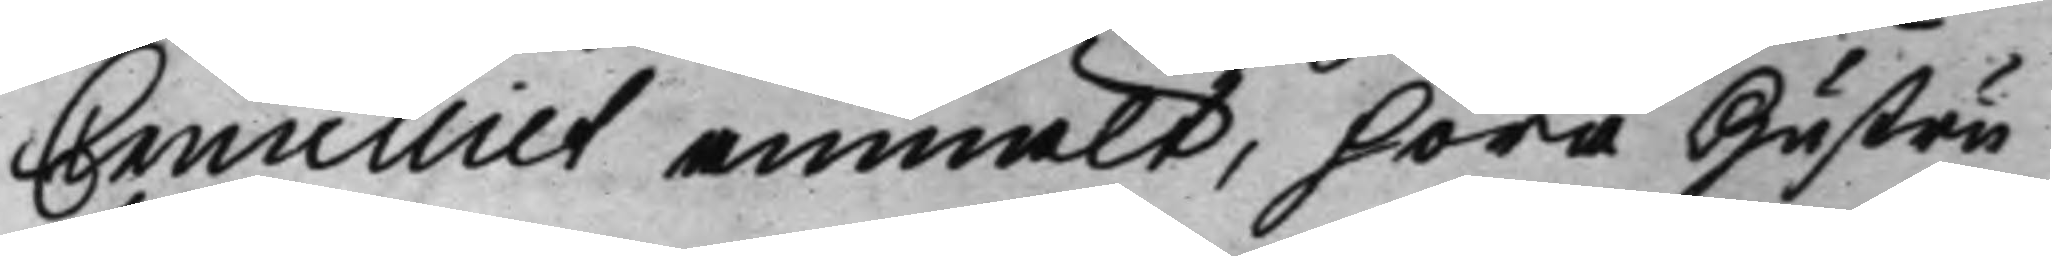Cancelliet anmält, höra Hustru
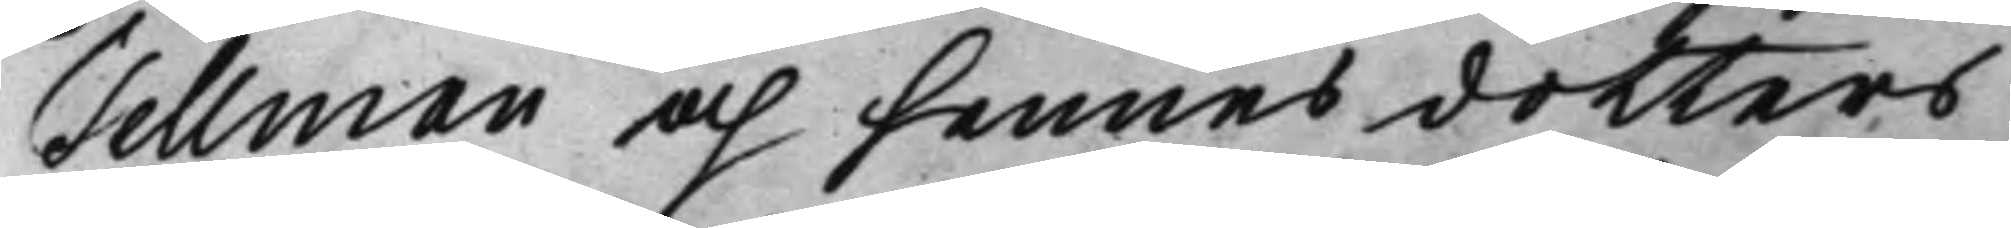Tellman och hennes dotters
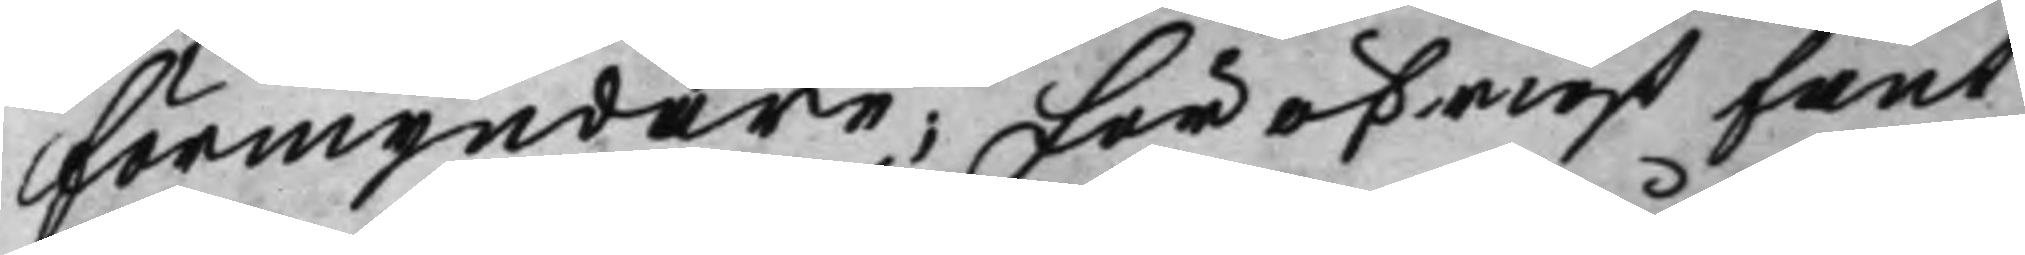förmyndare; för öfrigt fant
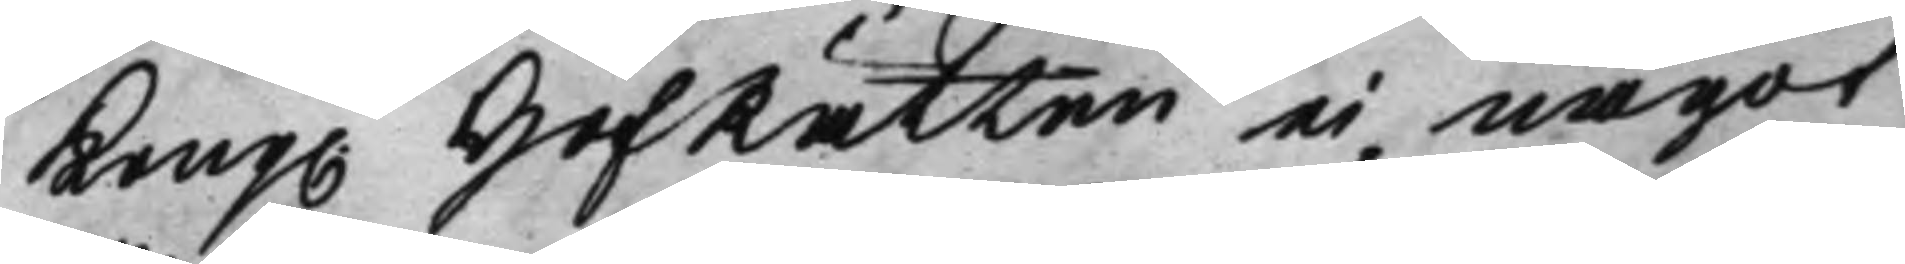Kong. HofRätten ei något
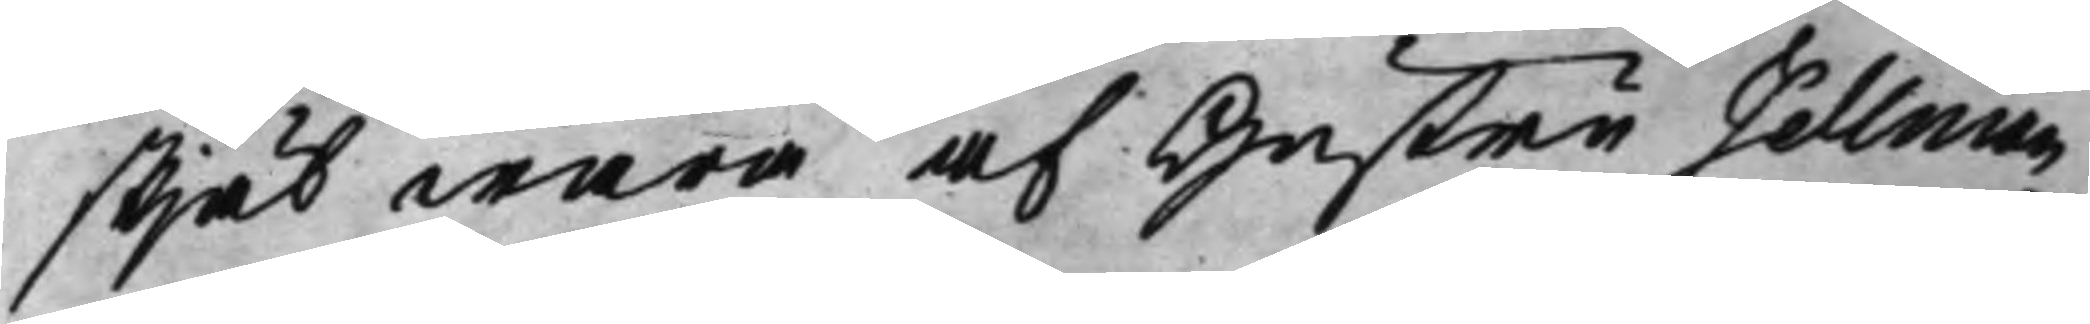skjäl wara af Hustru Tellman
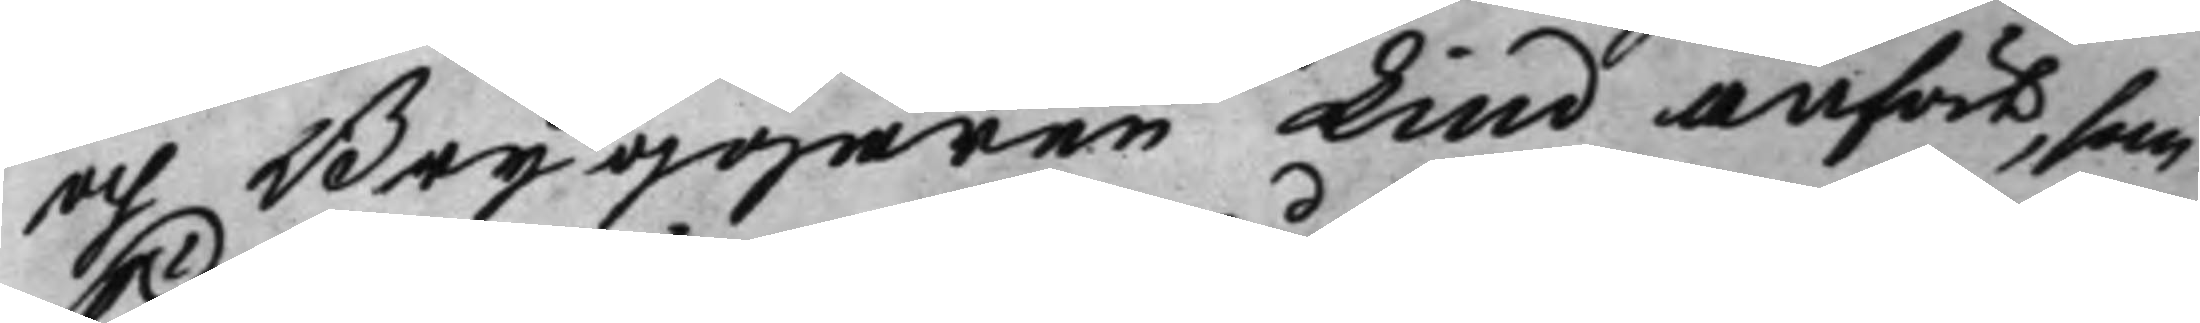och Bryggaren Lind anfört, som
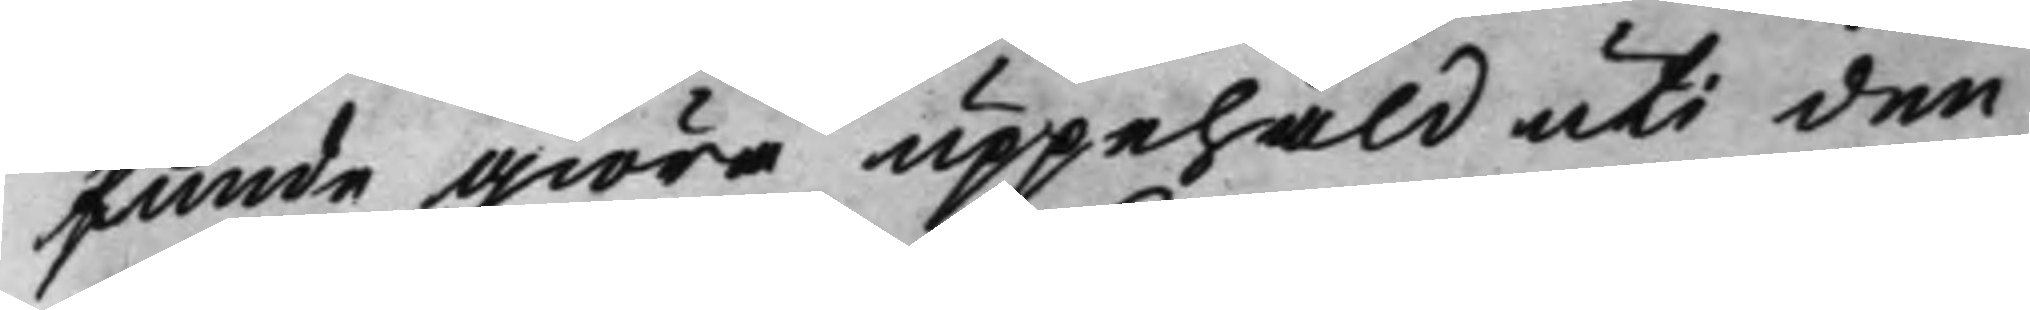kunde giöra uppehåld uti den
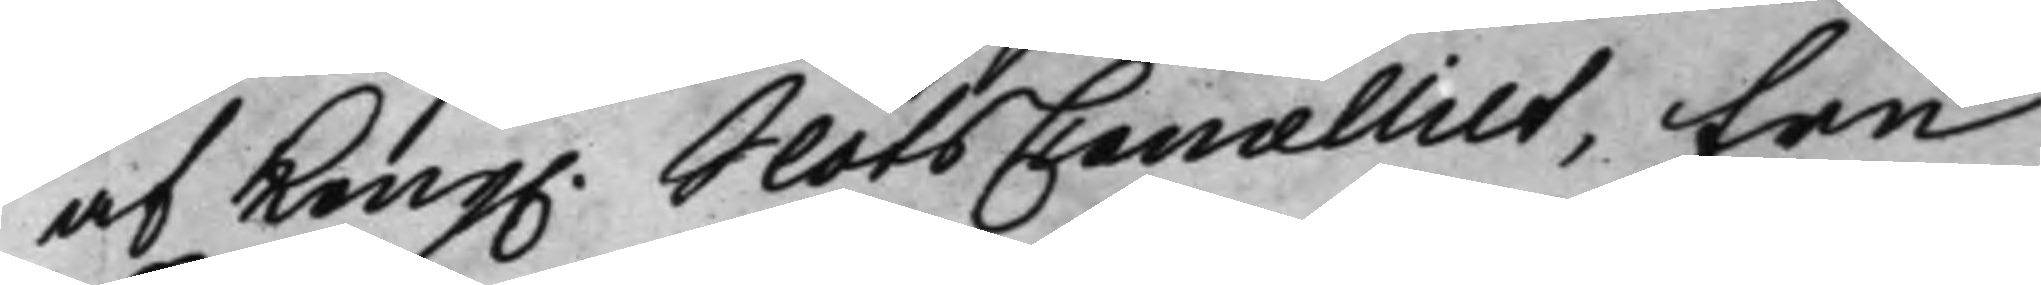af Kong. SlotsCancelliet, fru
